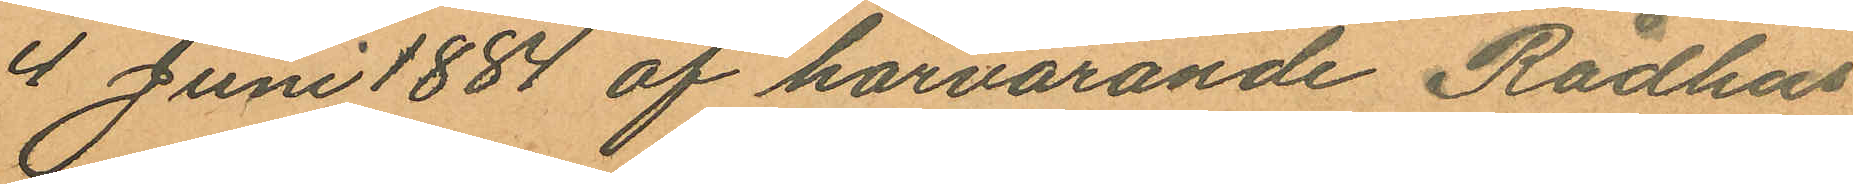4 Juni 1887 af härvarande Rådhus
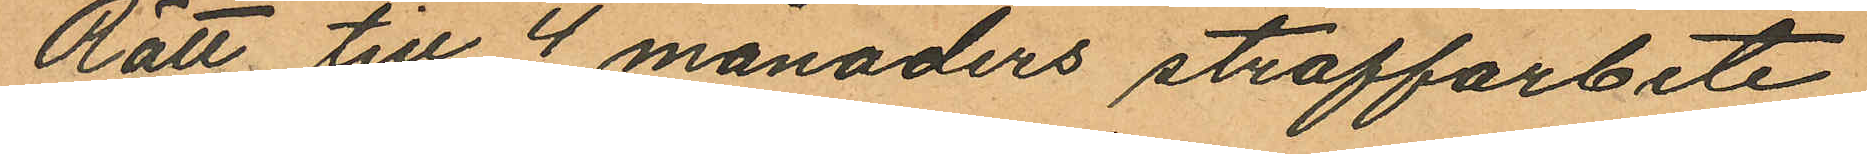Rätt till 4 månaders straffarbete
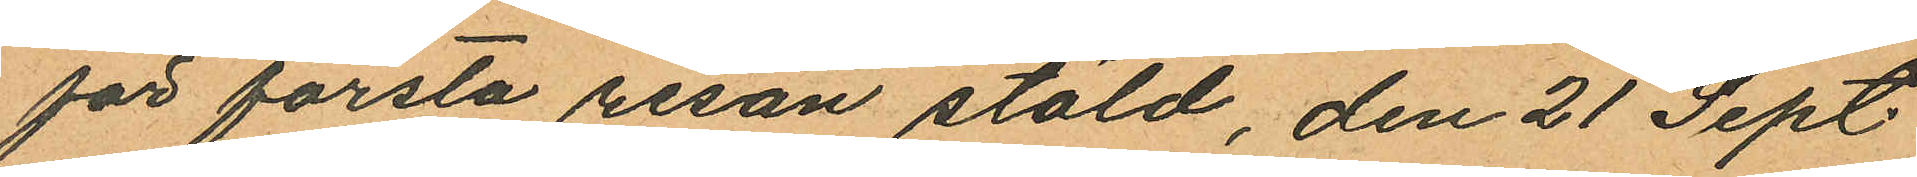för första resan stöld, den 21 Sept.
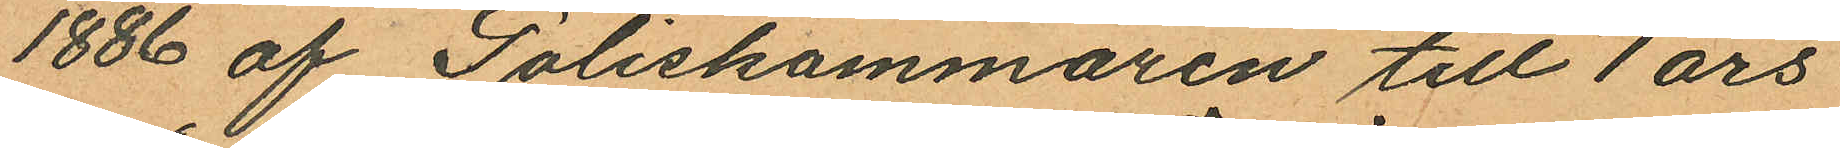1886 af Poliskammaren till 1 års
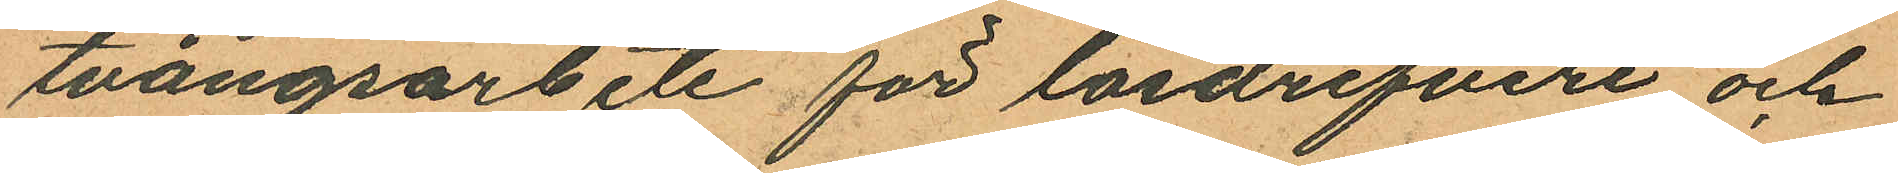tvångsarbete för lösdrifveri och
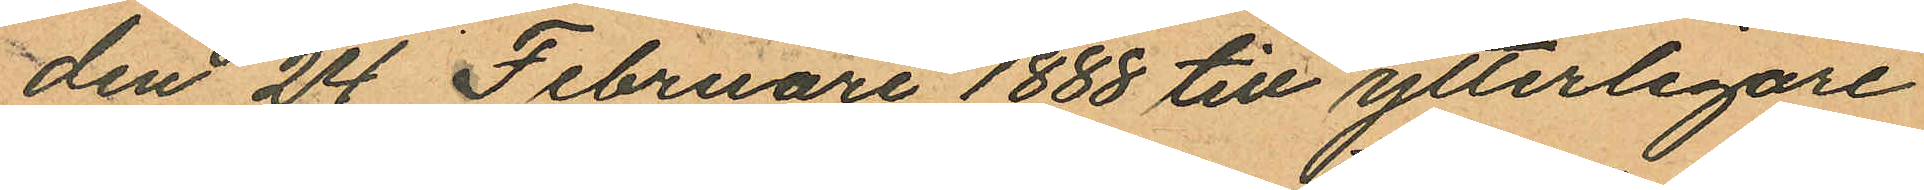den 24 Februari 1888 till ytterligare
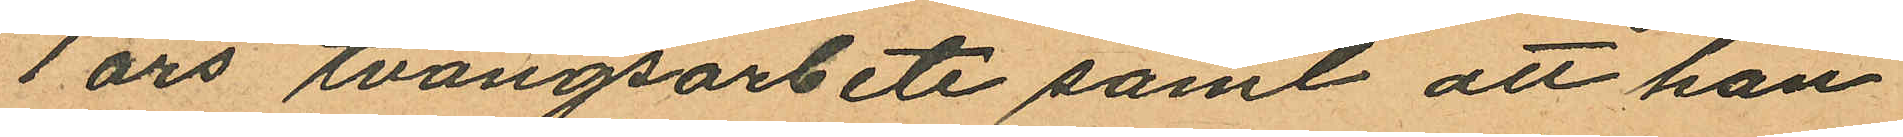1 års tvångsarbete samt att han
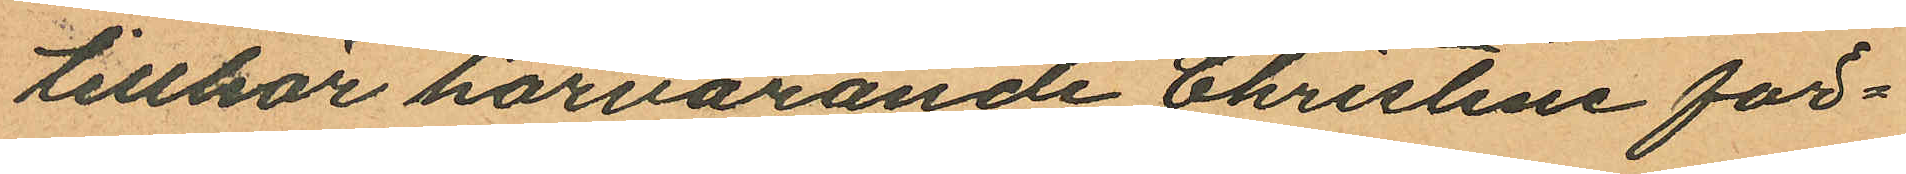tillhör härvarande Christine för¬
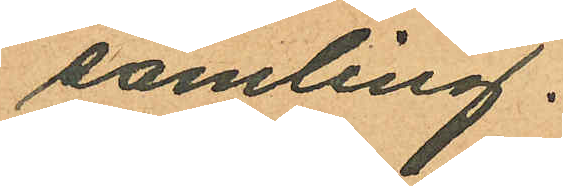samling.
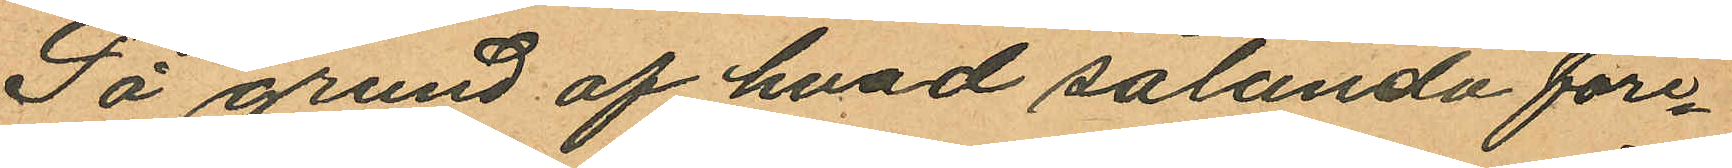På grund af hvad sålunda före¬
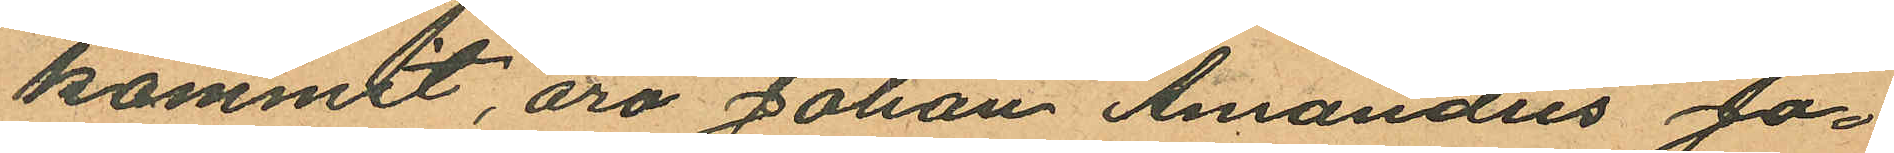kommit, äro Johan Amandus Jo¬
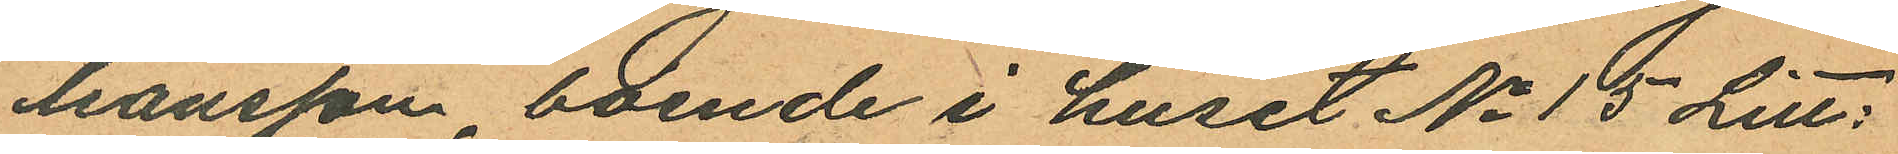hansson boende i huset No 15 Litt:
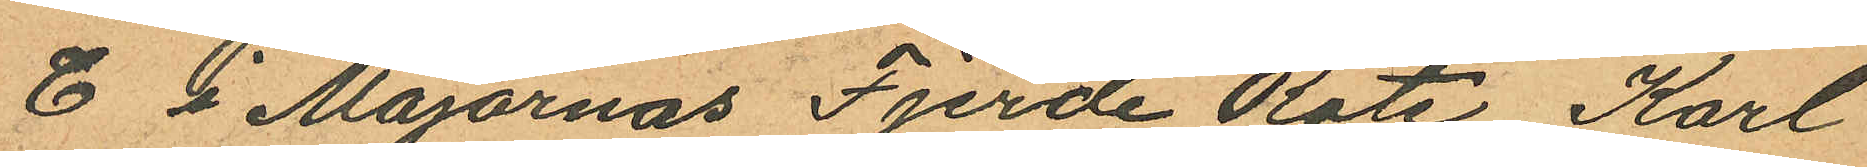C å Majornas Fjerde Rote, Karl
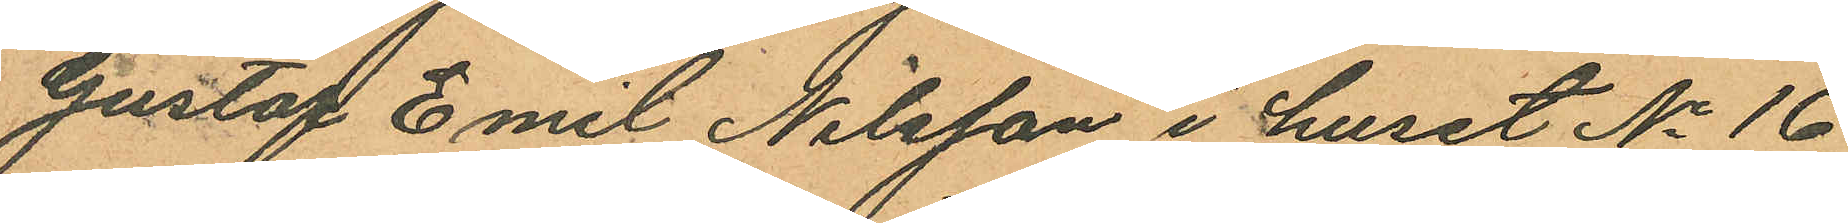Gustaf Emil Nilsson i huset No 16
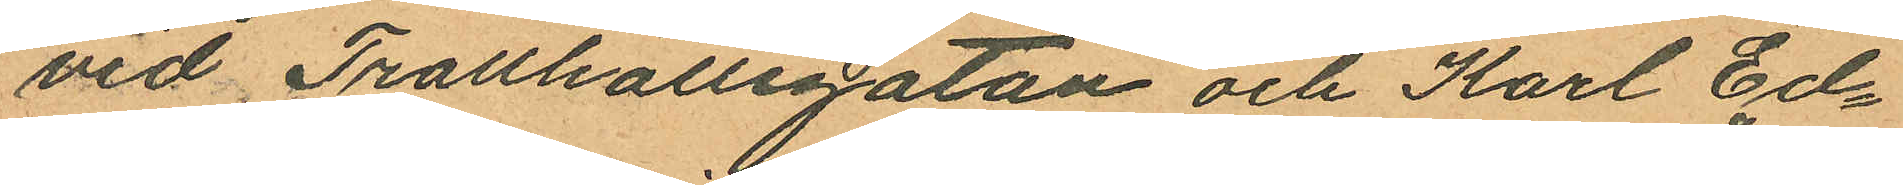vid Trollhättegatan och Karl Ed¬
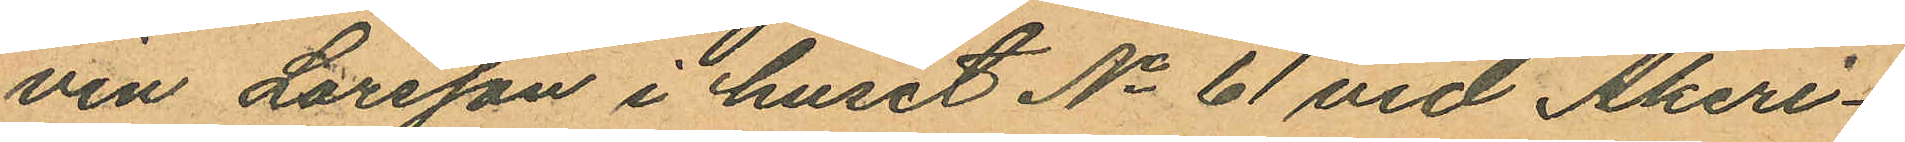vin Larsson i huset No 61 vid Åkeri¬
